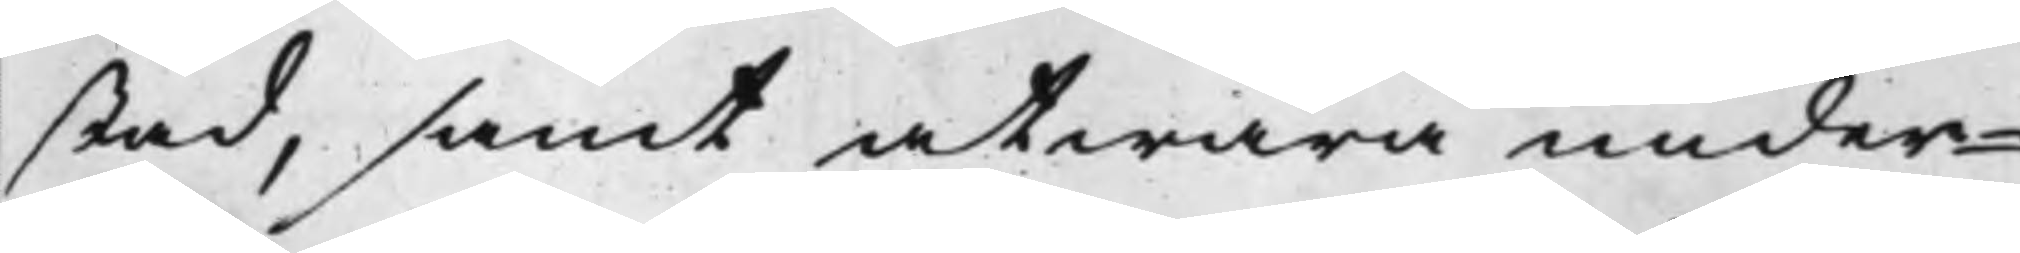stad, samt at wara under¬
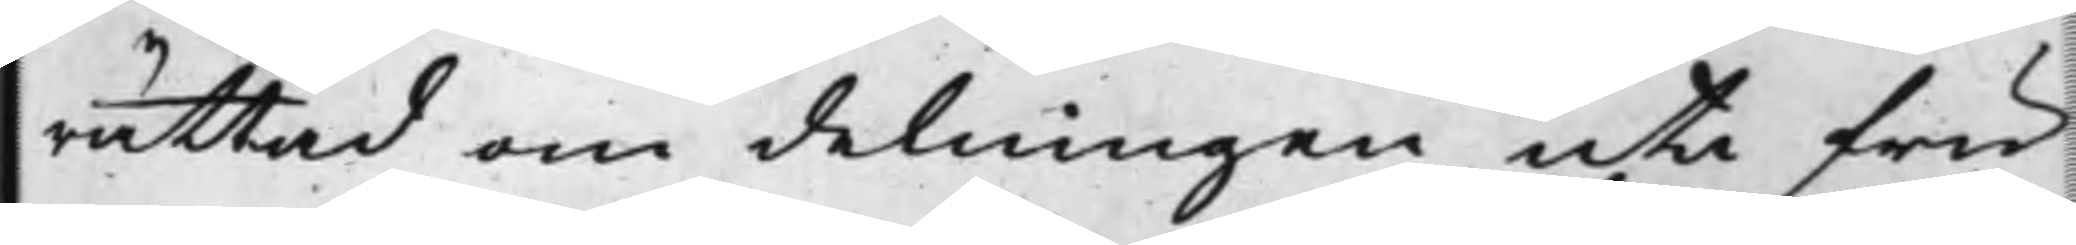rättad om delningen uti fru
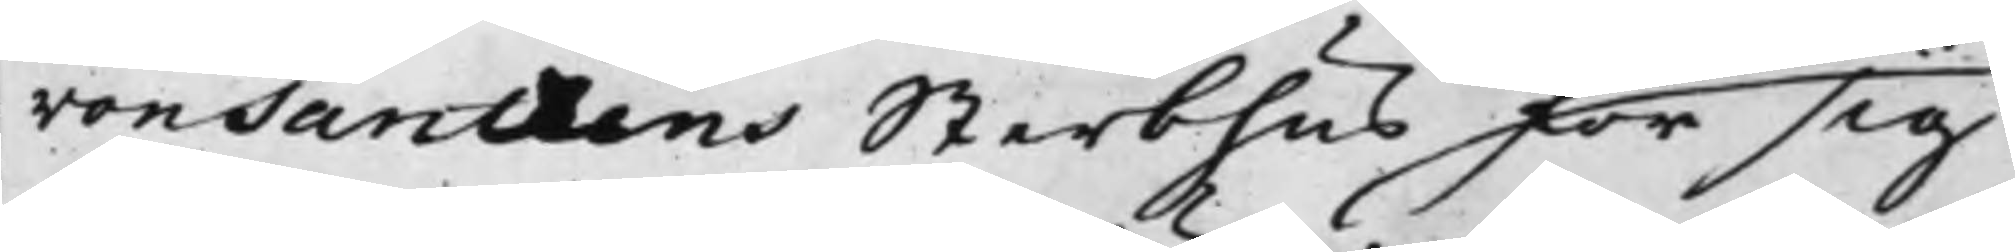von Santhens Sterbhus för sig
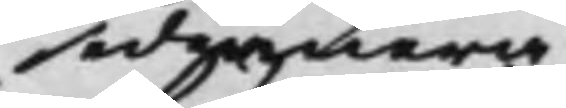sedemera
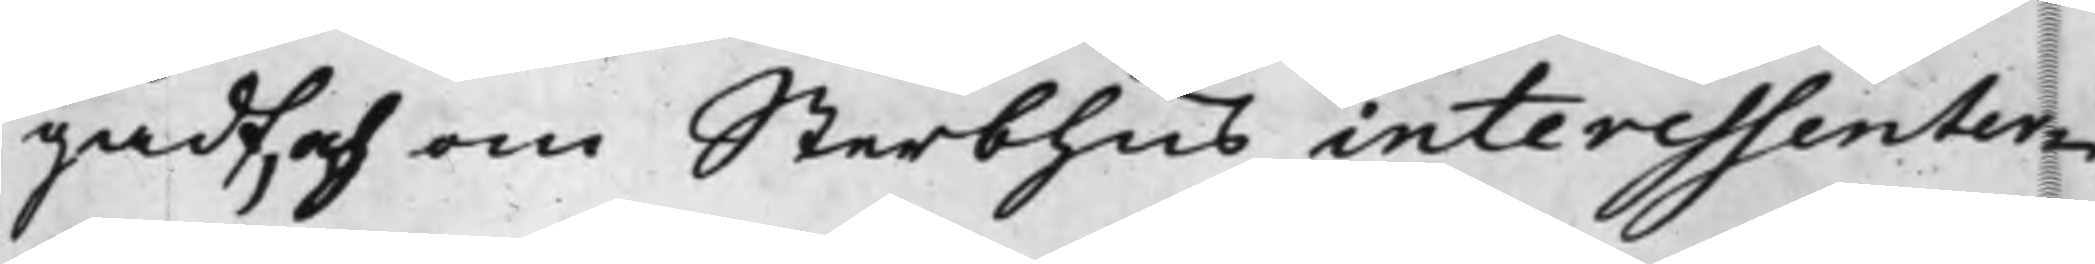gådt, och om Sterbhus interessenter¬
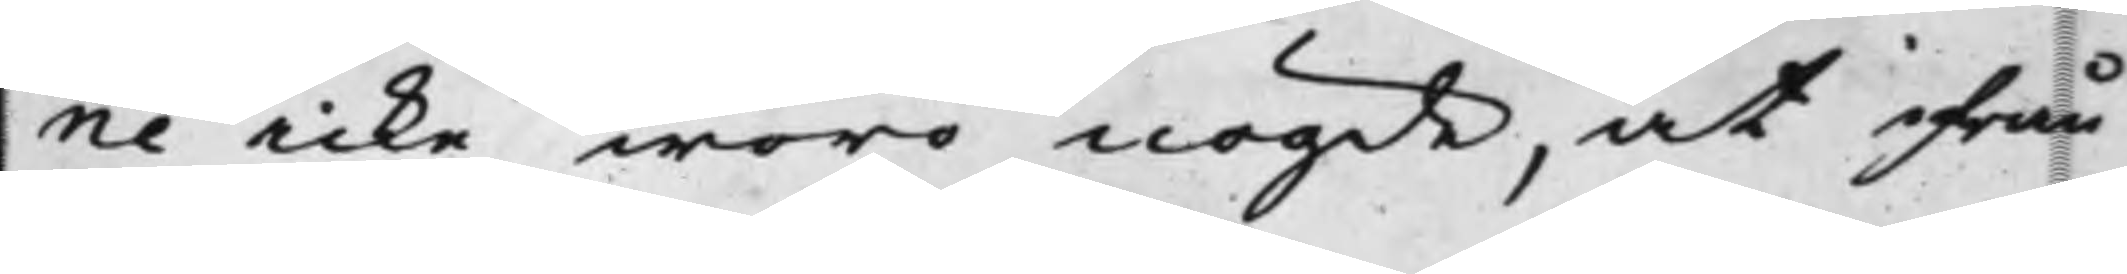ne icke woro nögde, at ifrån
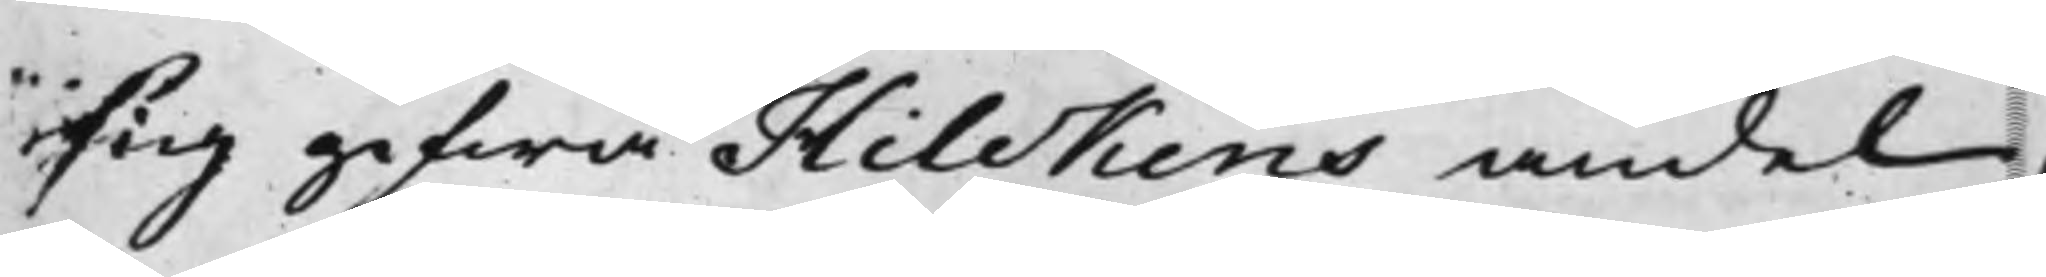sig gifwa Hilckens andel,
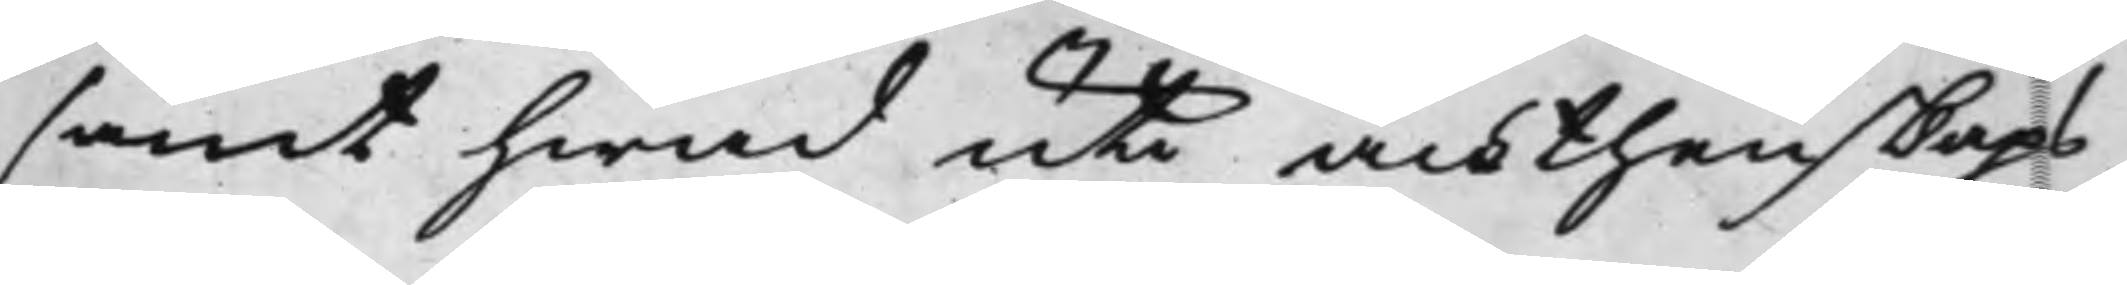samt hwad uti ächthenskaps
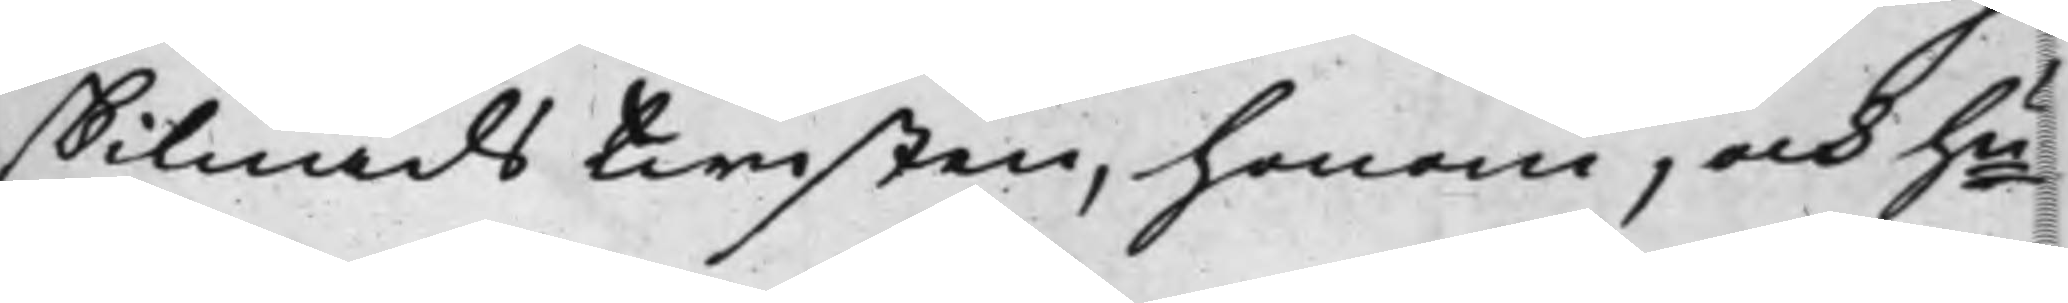skilnads twisten, honom, och hu
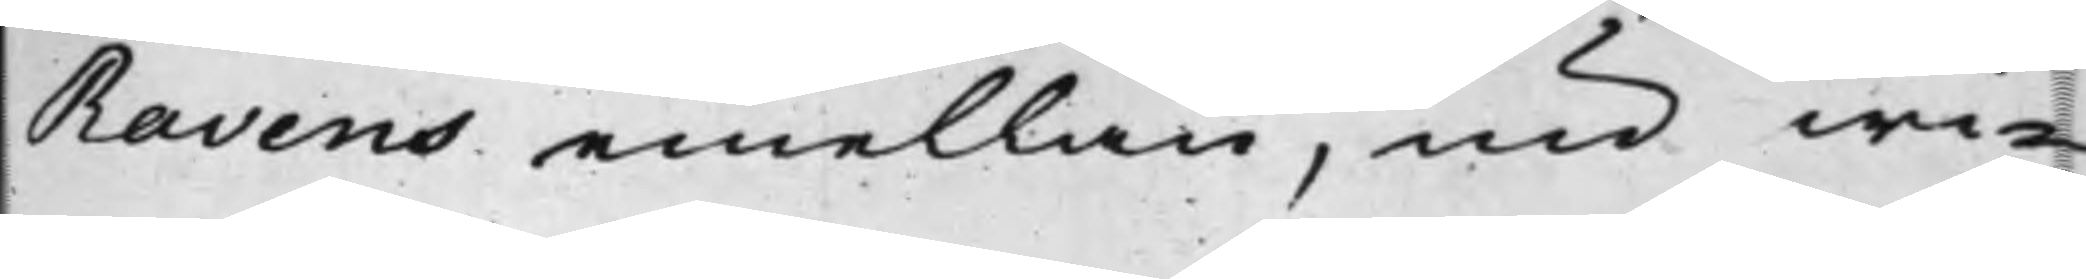Ravens emellan, nu wi¬
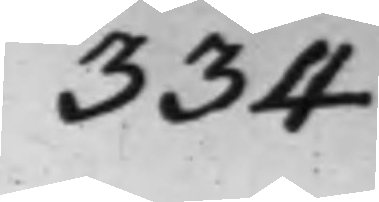334
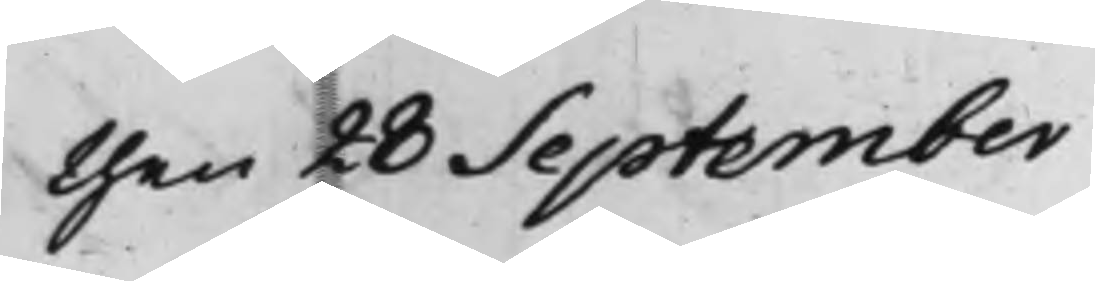then 28 September
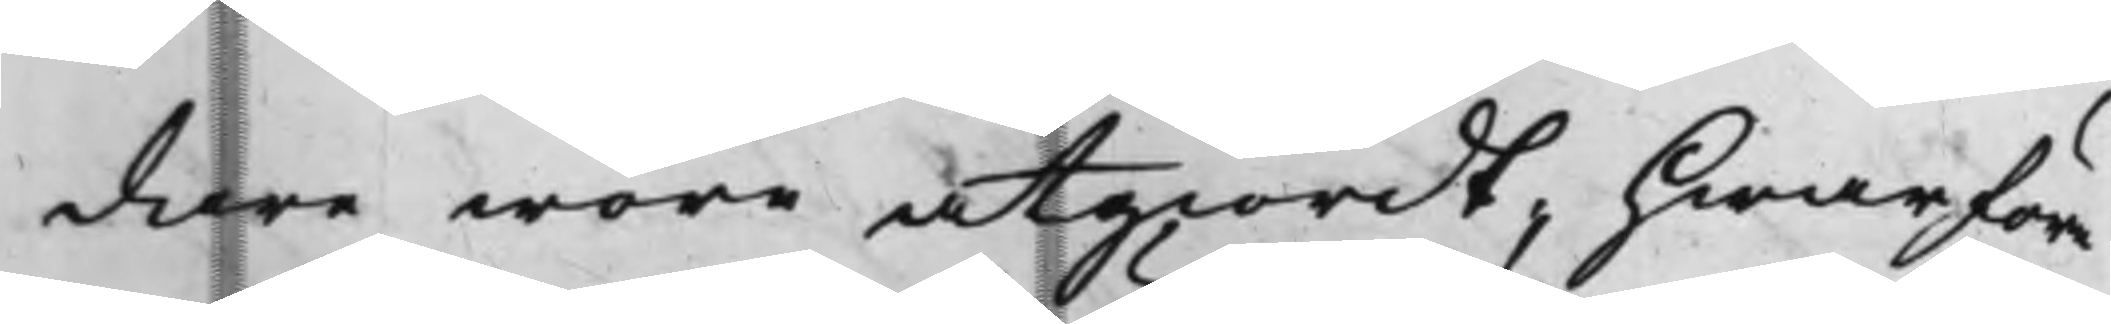dare wore åtgiordt, hwarföre
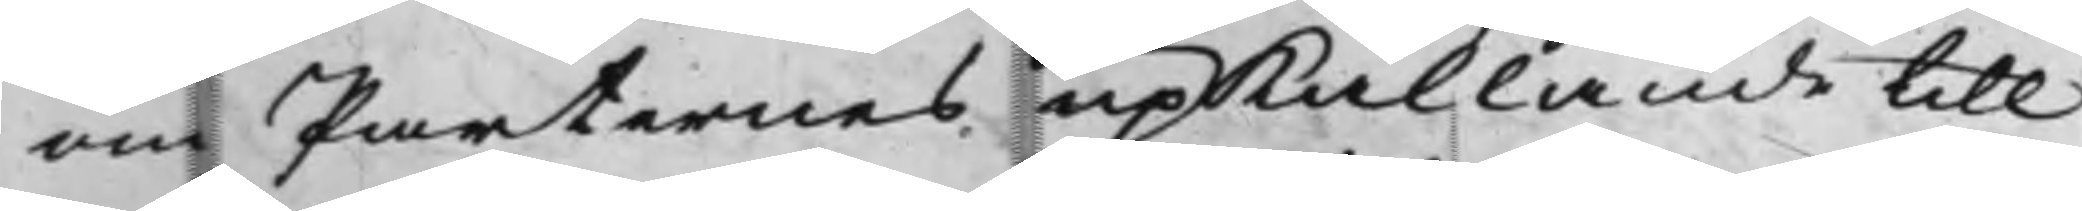om Parternes upkallande till
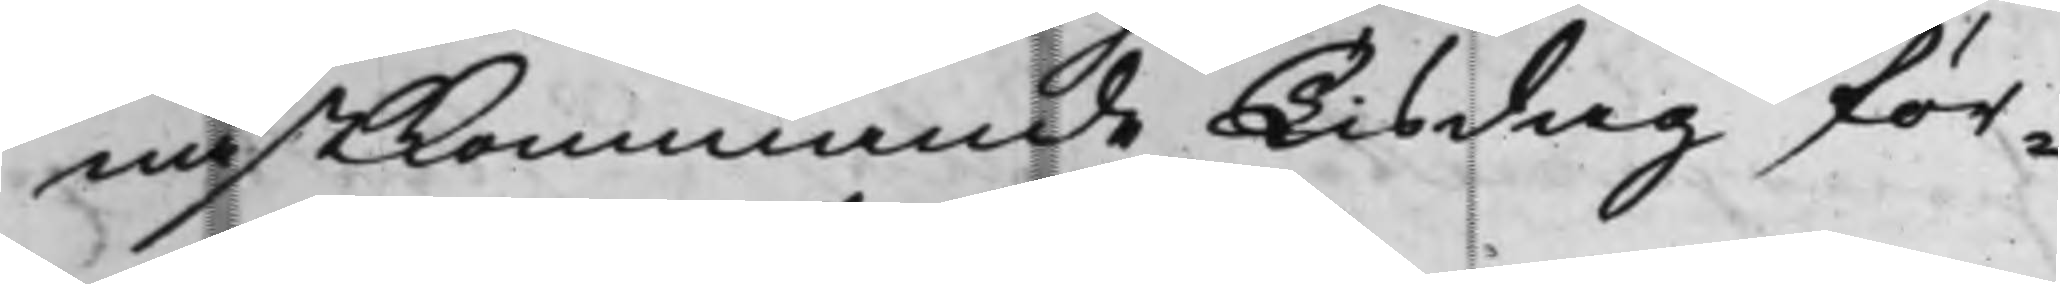nästkommande Tisdag för¬
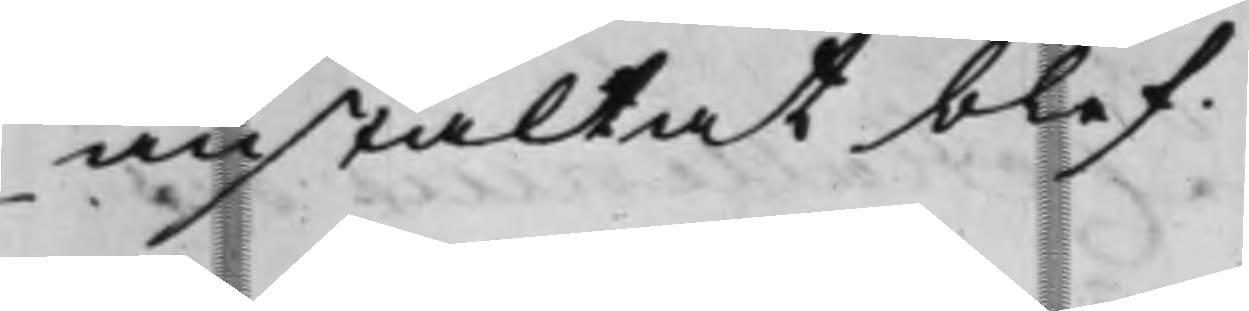anstaltat blef.
